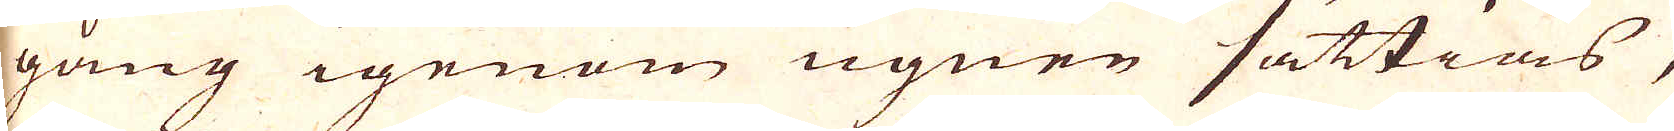gång igenom ugnen sättias,
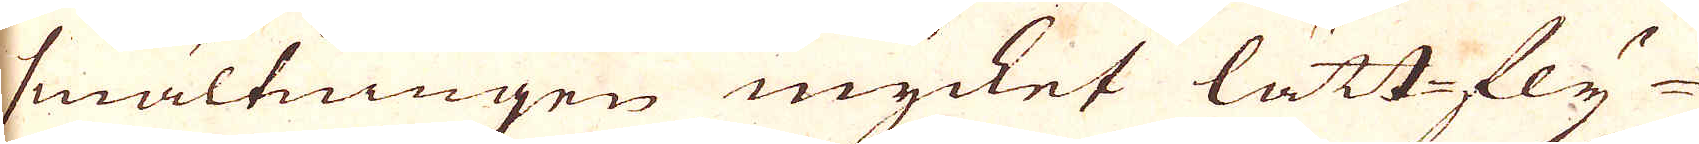smältningen mycket lättfly-
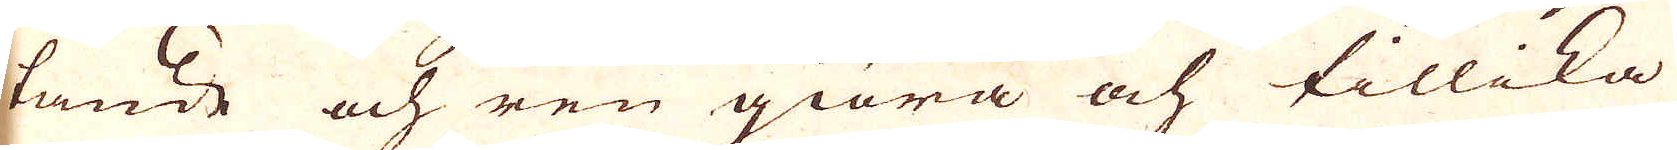tande och ren giöra och tillika
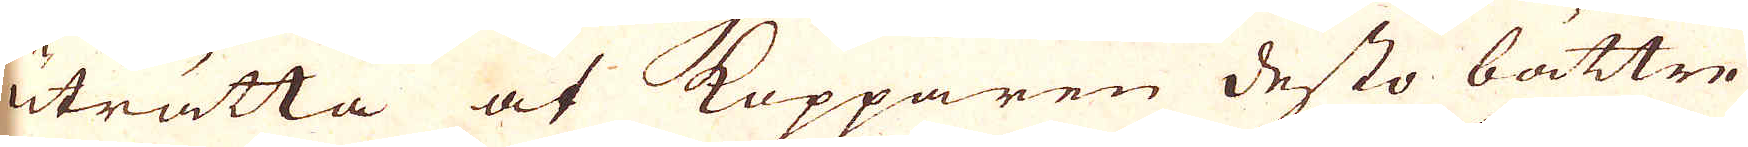uträtta at Kopparen desto bättre
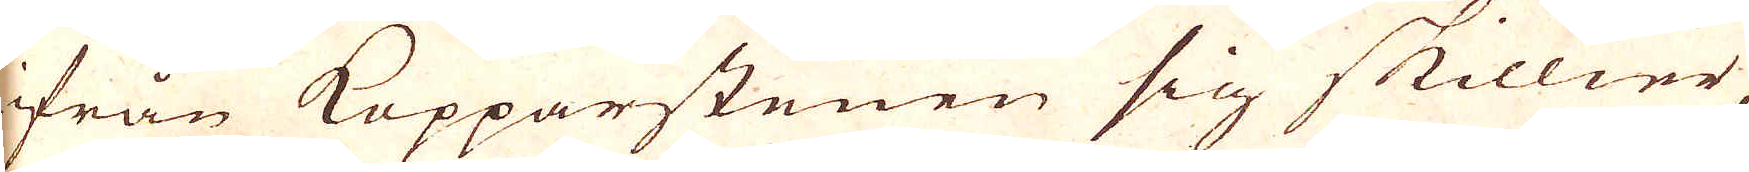ifrån Kopparstenen sig skillier
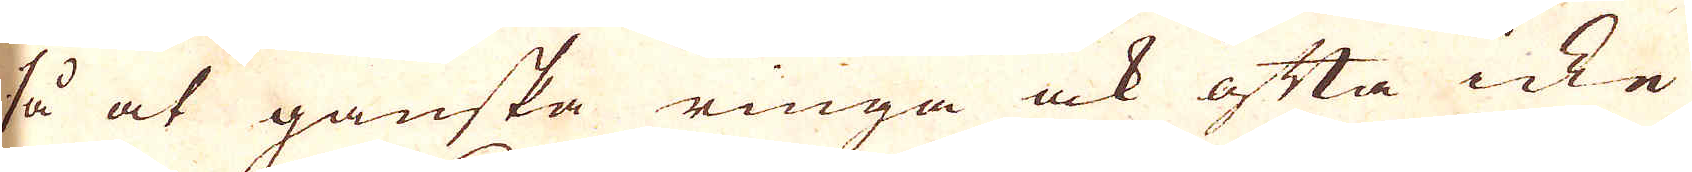så at ganska ringa ock ofta icke
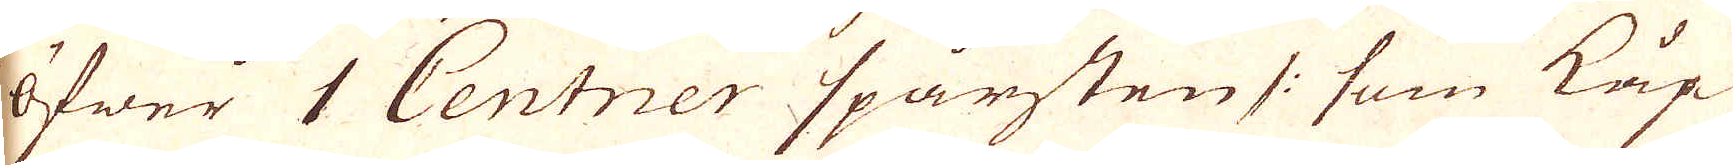Öfwer 1 Centner spårsten /: som köp-
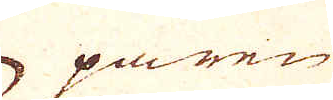paren
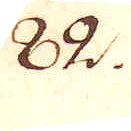82.
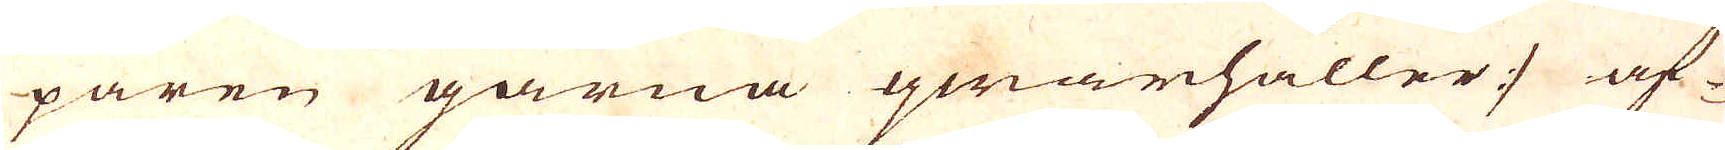paren gärna qwarhåller :/ af-
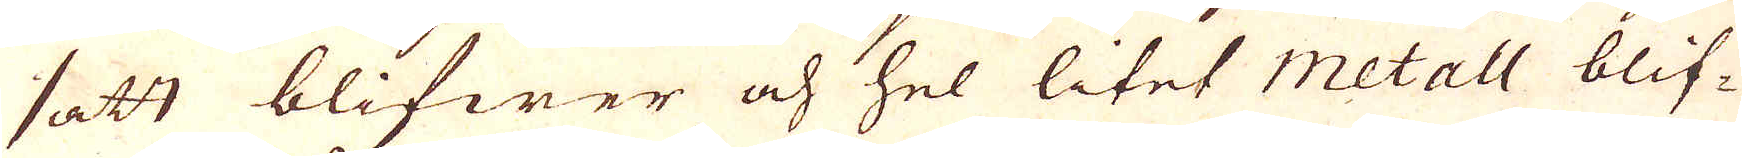satt blifwer och hel litet Metall blif-
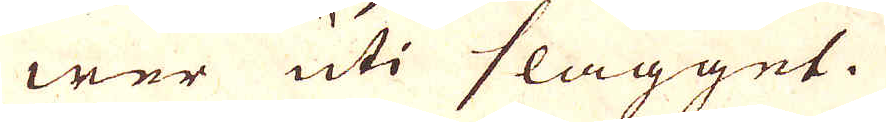wer uti slagget.
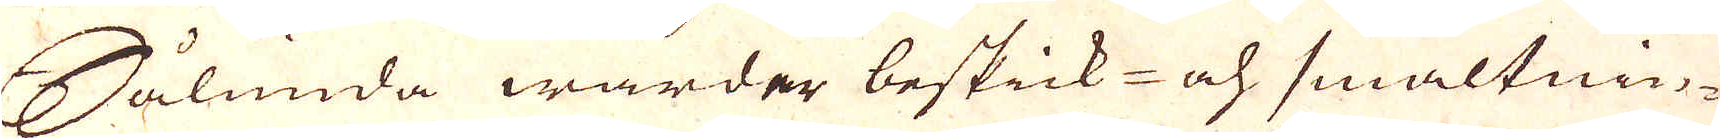Sålunda warder beskick och smältnin-
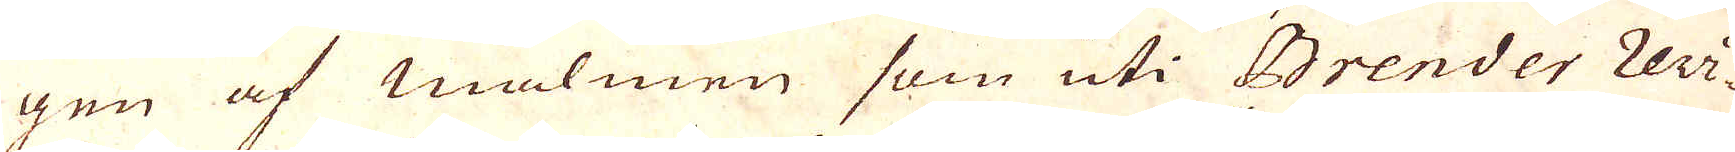gen af Malmen som uti Brender revi-
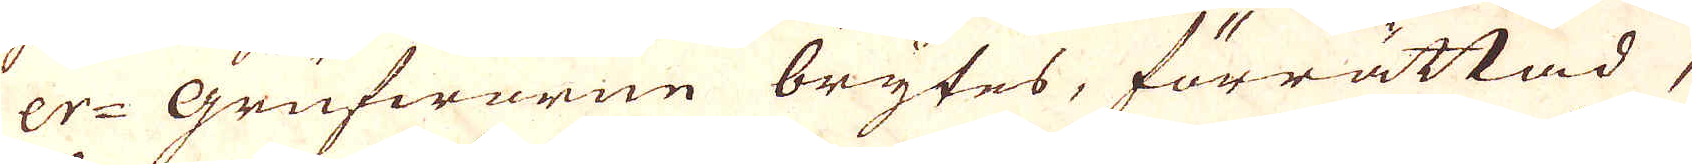er-Grufwarne brytes, förrättad,
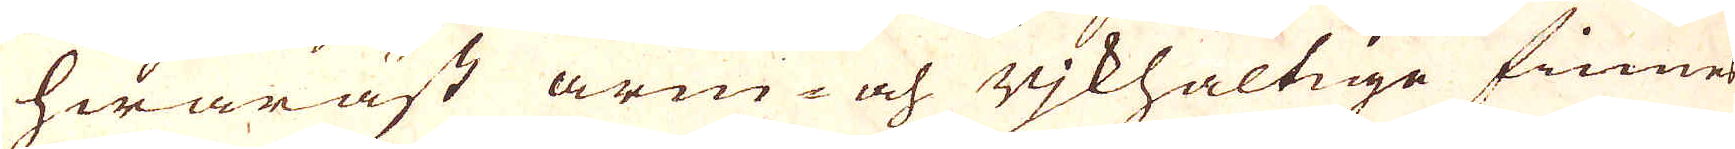hwaräst arm- och rjkhaltige finnes
